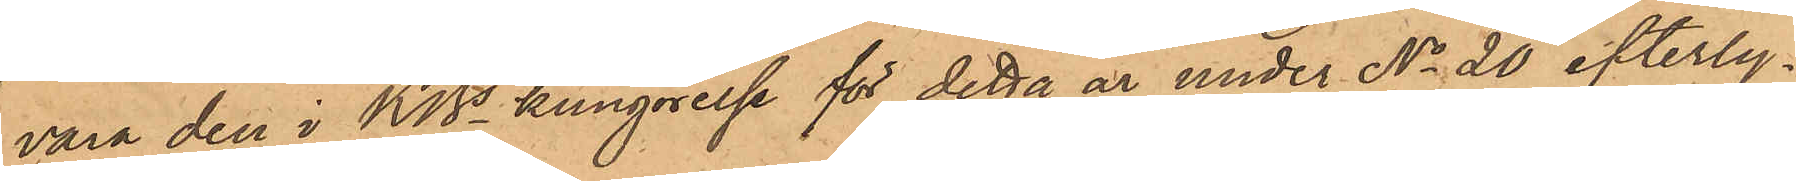vara den i KBs kungörelse för detta år under No 20 efterly¬
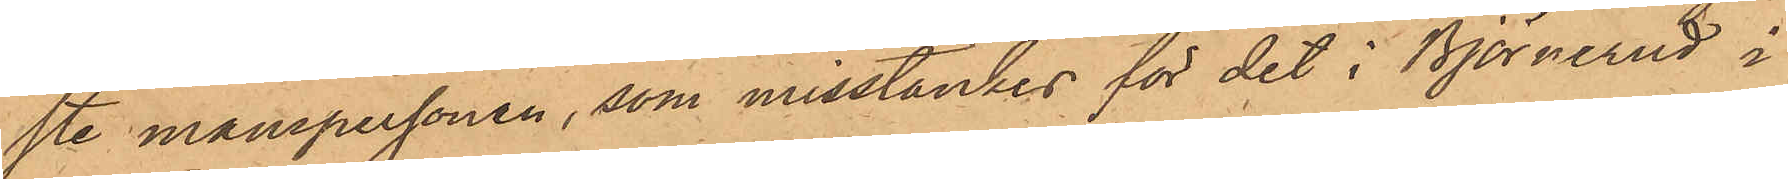ste manspersonen, som misstänkes för det i Björnerud i
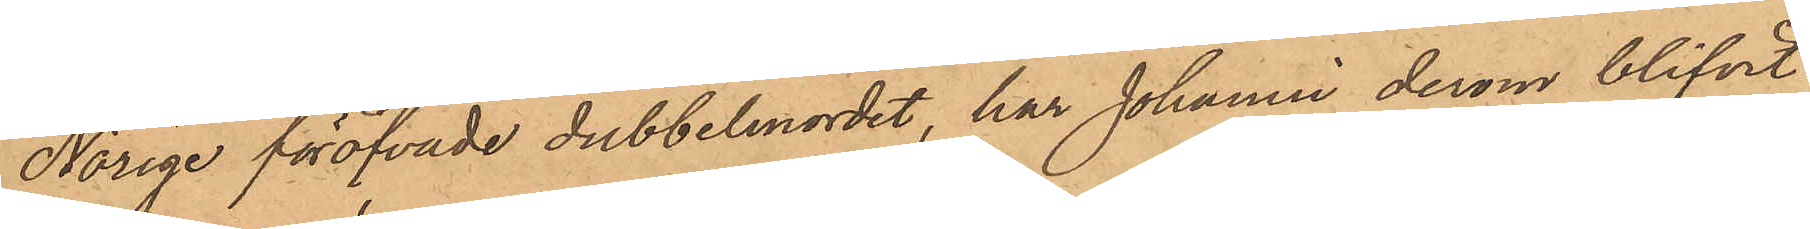Norige föröfvade dubbelmordet, har Johanni derom blifvit
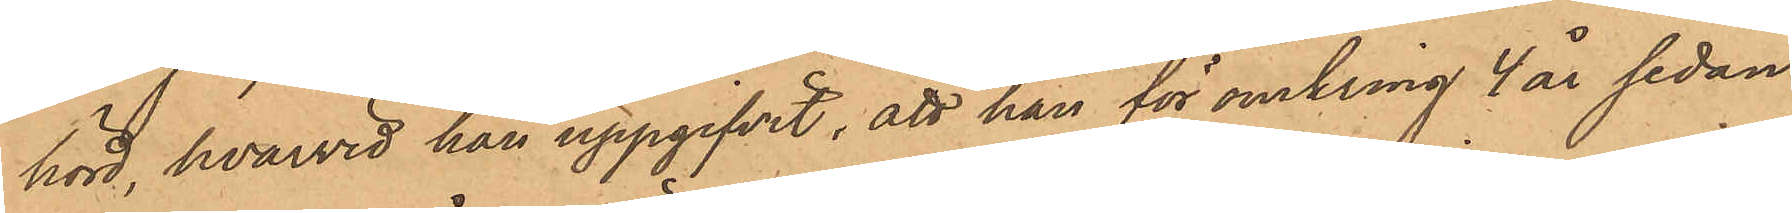hörd, hvarvid han uppgifvit, att han för omkring 4 år sedan
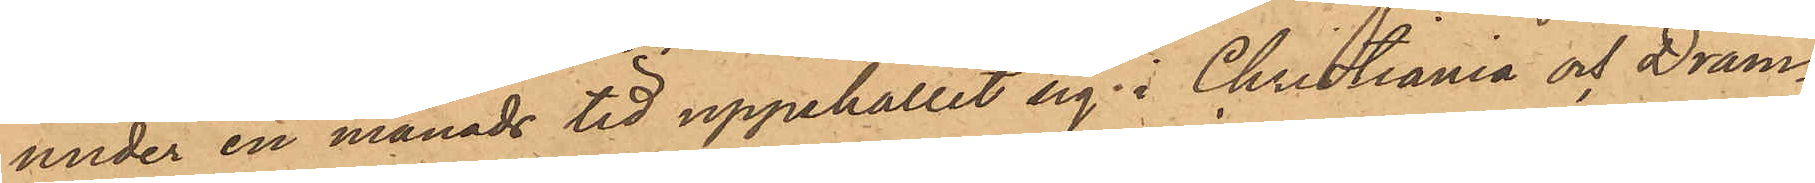under en månads tid uppehållit sig i Christiania och Dram¬
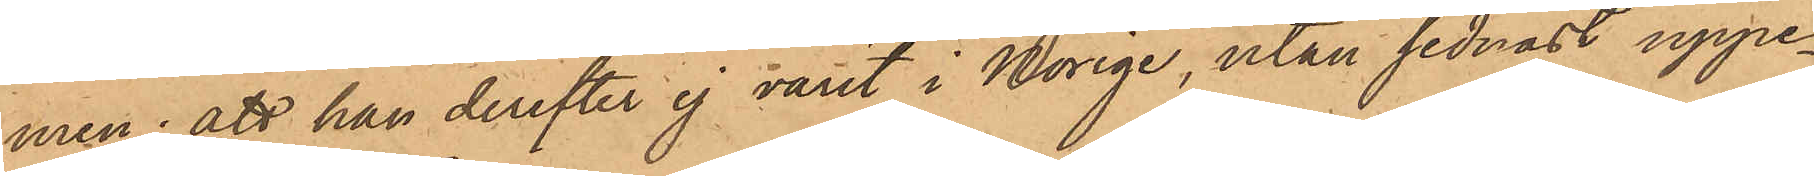men; att han derefter ej varit i Norige, utan sednast uppe¬
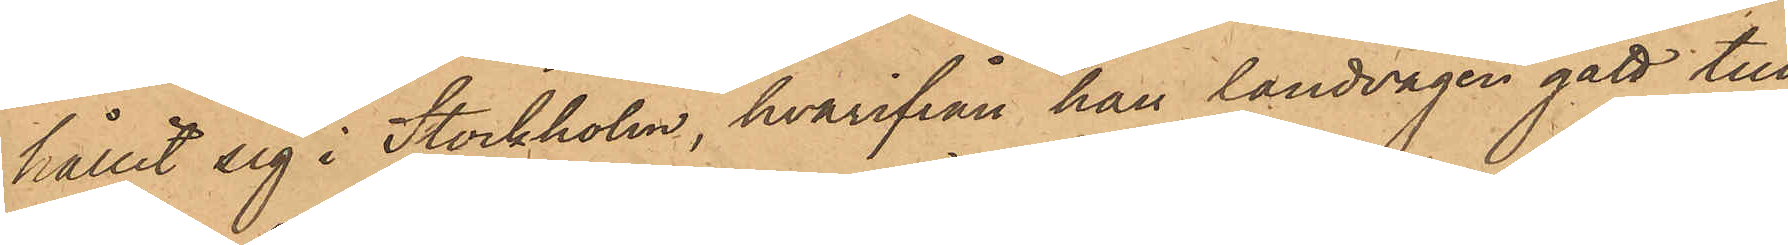hållit sig i Stockholm, hvarifrån han landvägen gått till
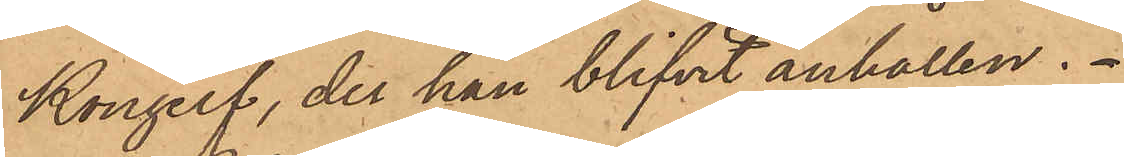Kongelf, der han blifvit anhållen.
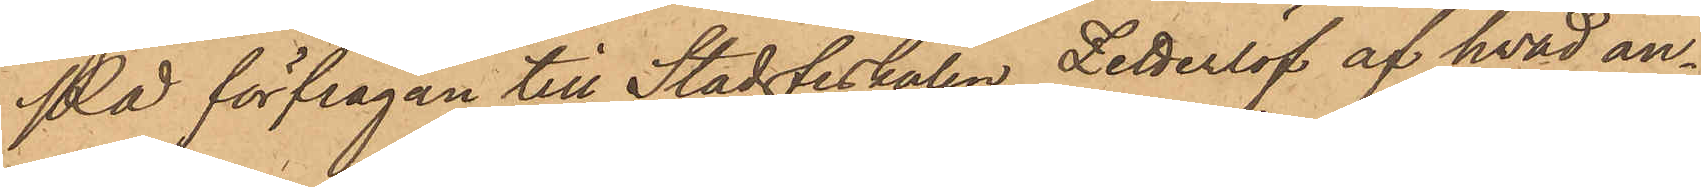På förfrågan till Stadsfiskalen Zetterlöf af hvad an¬
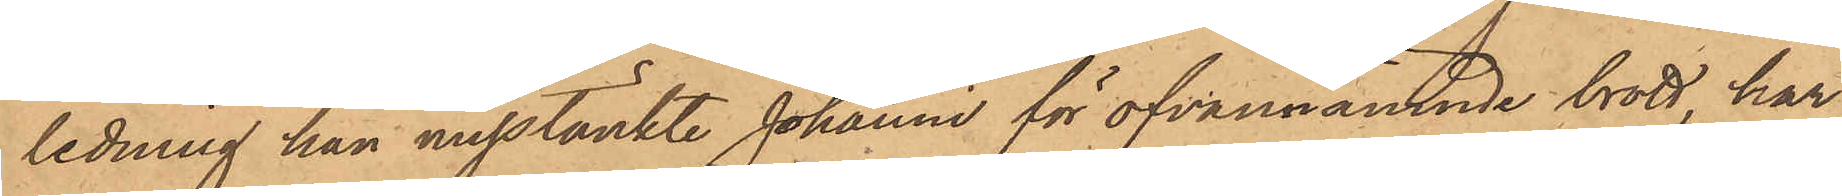ledning han misstänkte Johanni för ofvannämnde brott, har
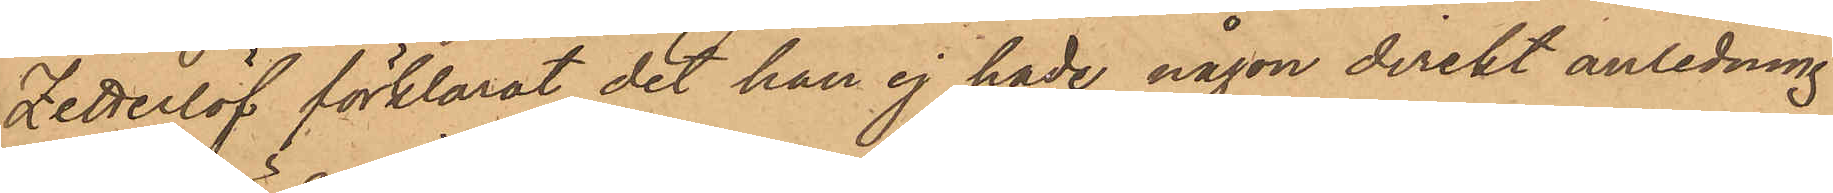Zetterlöf förklarat det han ej hade någon direkt anledning
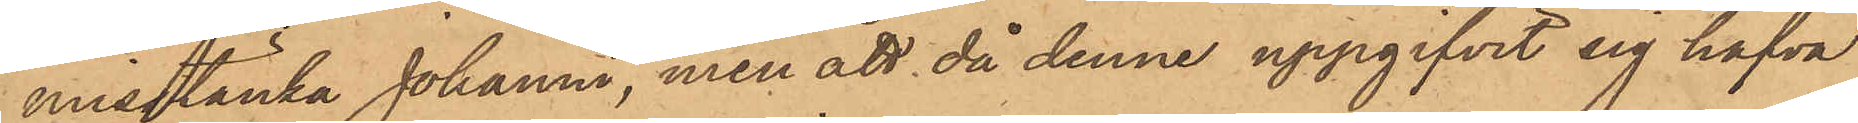misstänka Johanni, men att då denne uppgifvit sig hafva
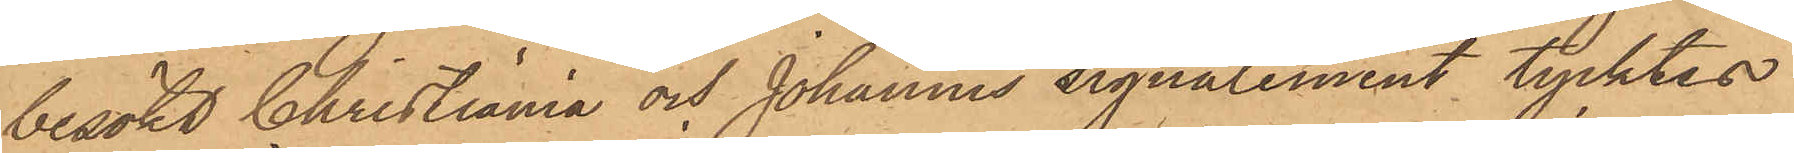besökt Christiania och Johannis signalement tycktes
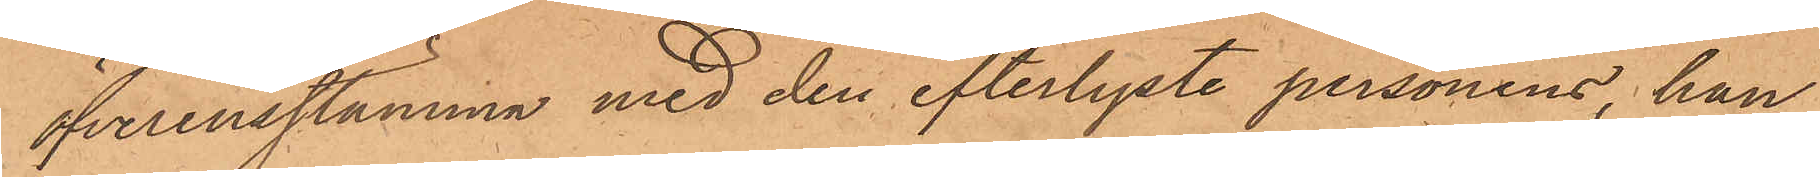öfverensstämma med den efterlyste personens, han
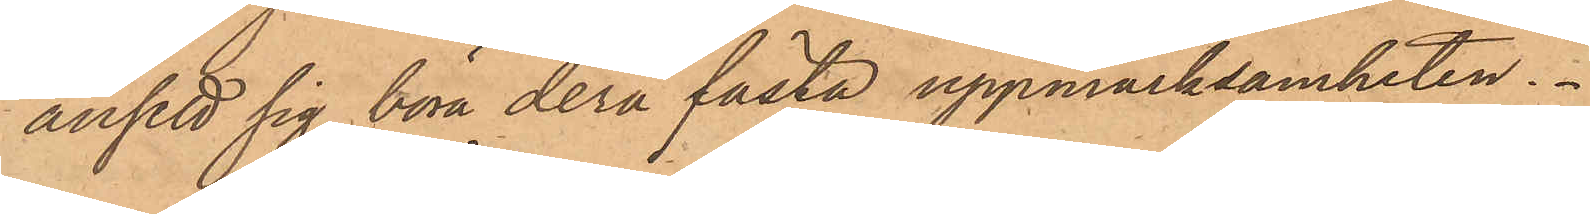ansett sig böra derå fästa uppmärksamheten.
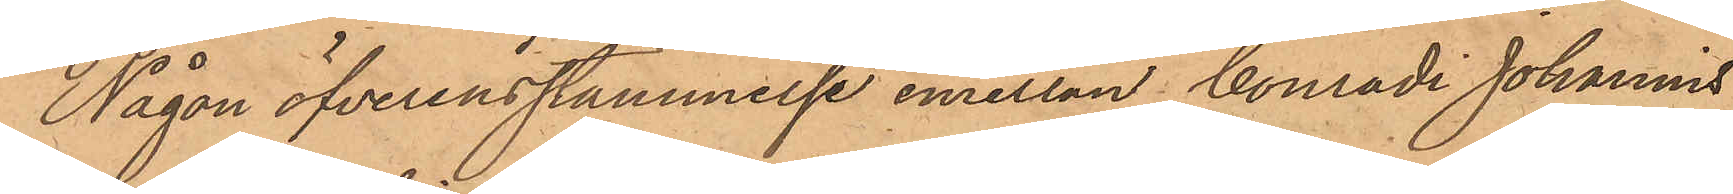Någon öfverensstämmelse emellan Conradi Johannis
